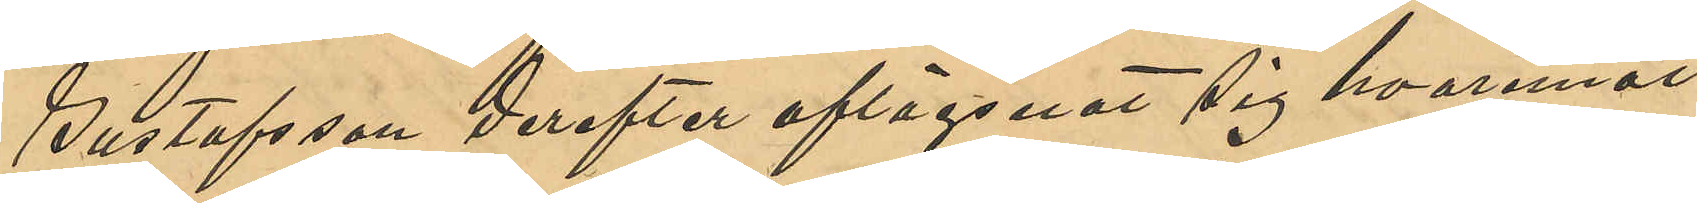Gustafsson derefter aflägsnat sig hvaremot
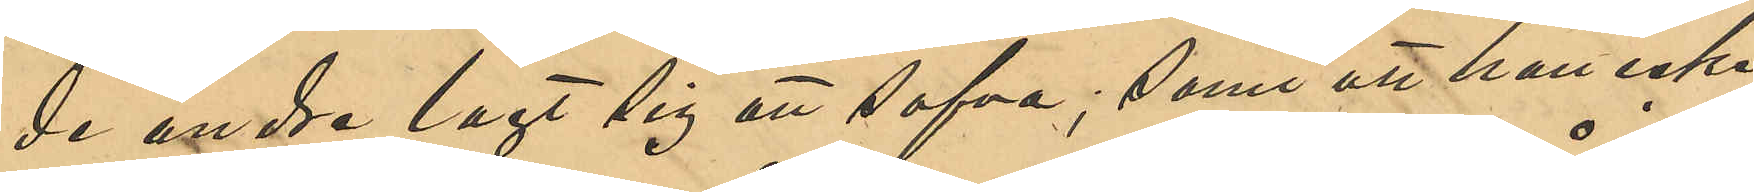de andre lagt sig att sofva; samt att han icke 
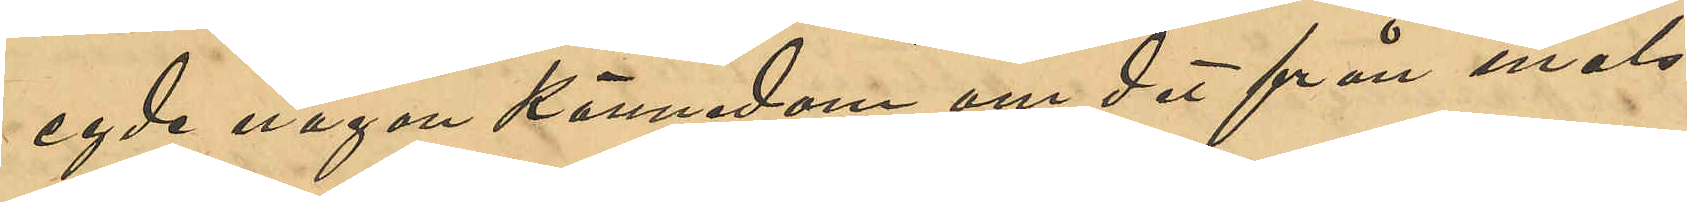egde någon kännedom om det från måls¬
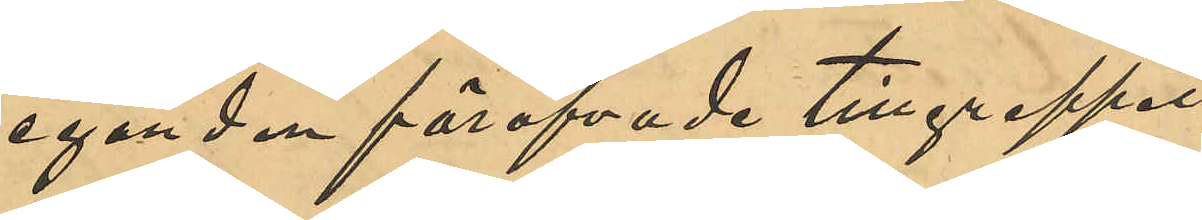eganden föröfvade tillgreppet.
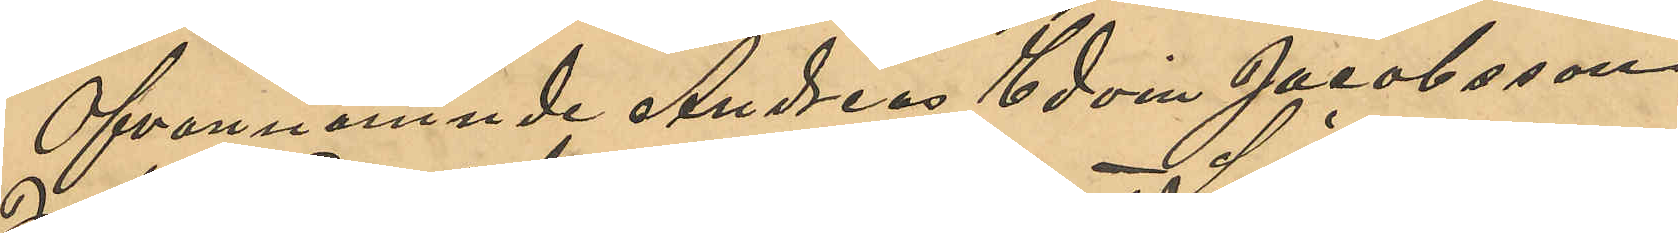Ofvannämnde Andreas Edvin Jacobsson,
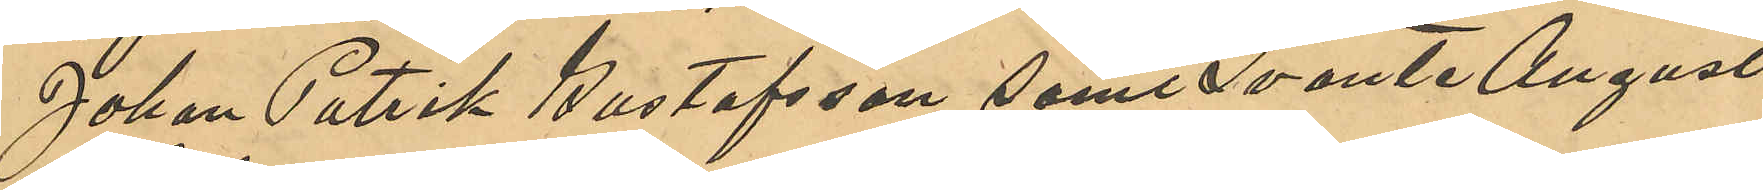Johan Patrik Gustafsson samt Svante August
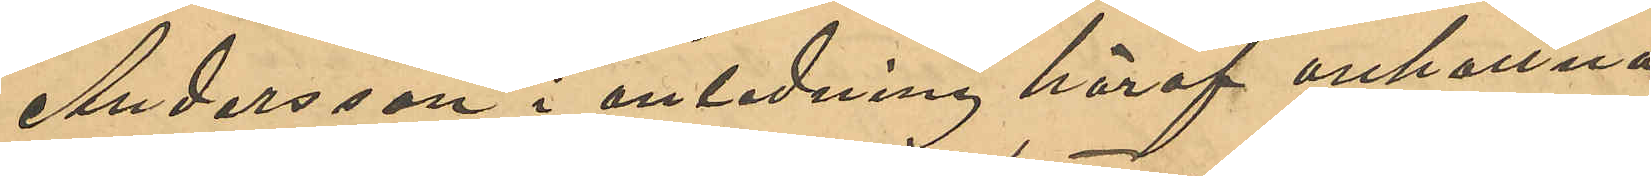Andersson i anledning häraf ankomna
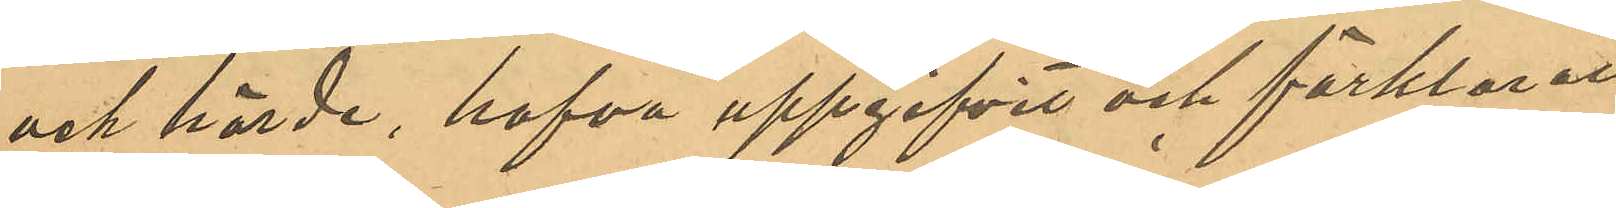och hörda, hafva uppgifvit och förklarat
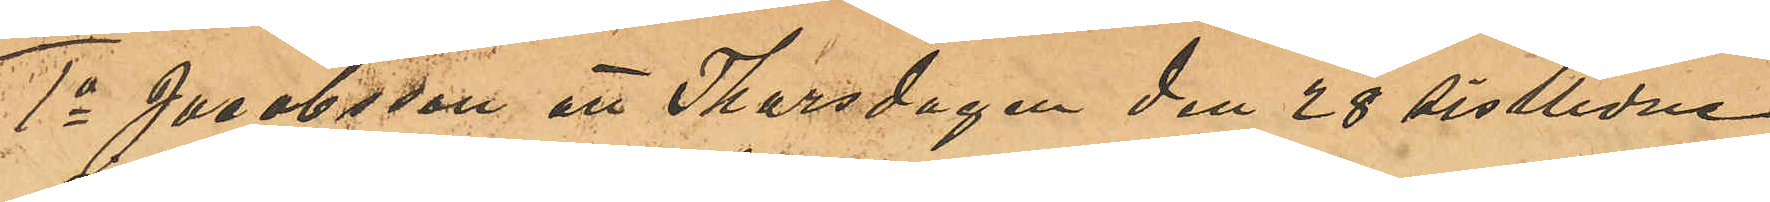1o Jacobsson att Thorsdagen den 28 sistlidne
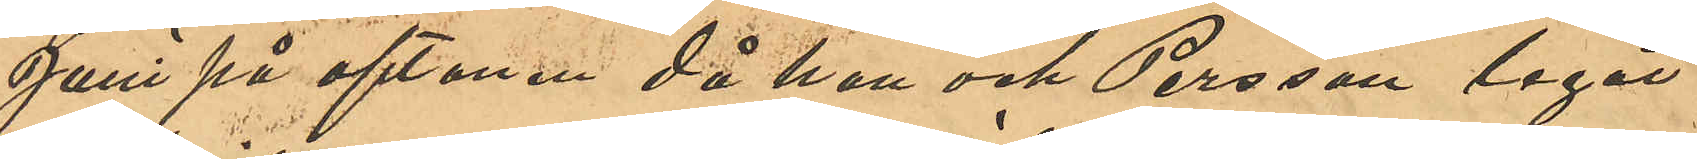Juni på aftonen då han och Persson lagat
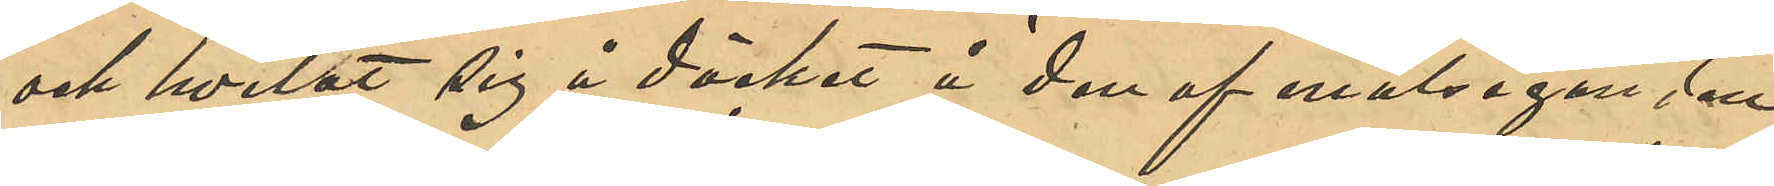och hvilat sig å däcket å den af målseganden
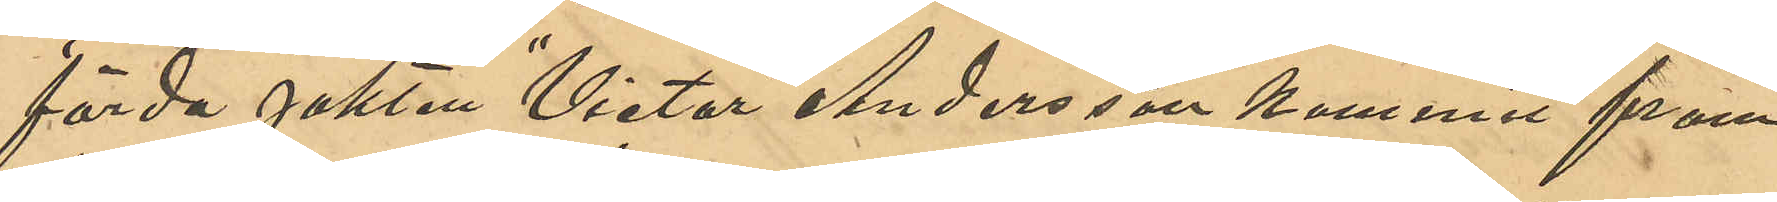förda jakten "Viktor" Andersson kommit fram
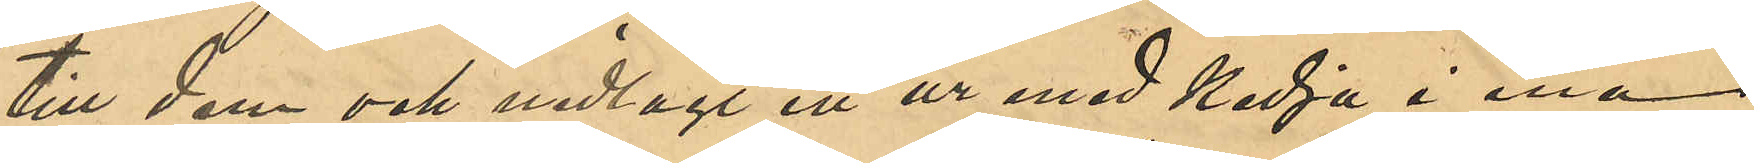till dem och nedlagt ett ur med kedja i ena
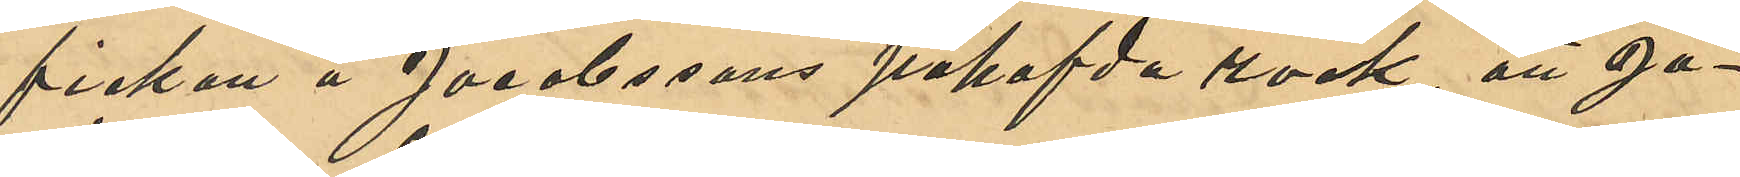fickan å Jacobssons påhafvda rock, att Ja¬
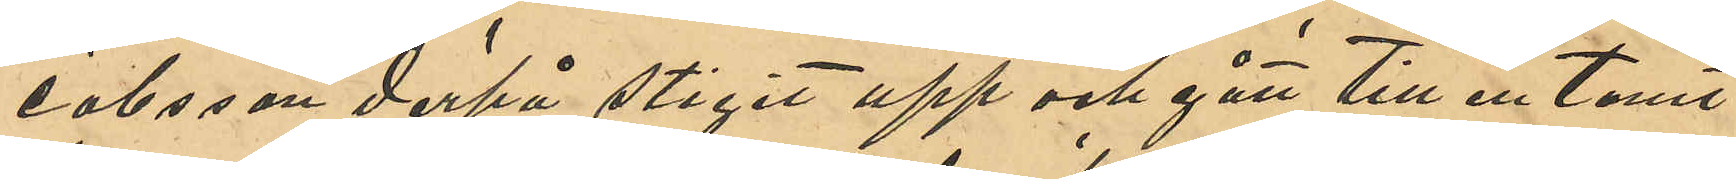cobsson derpå stigit upp och gått till en tomt
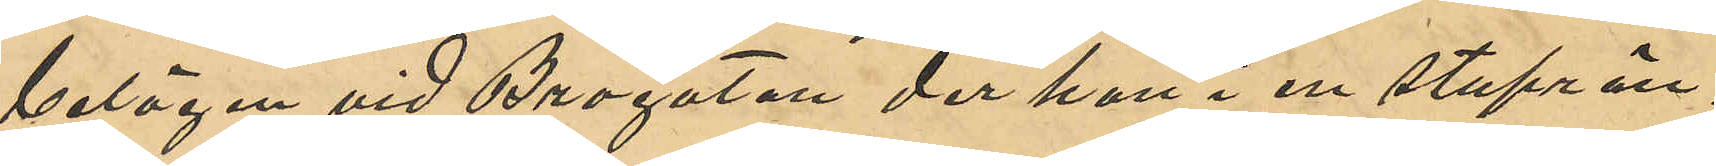belägen vid Brogatan den han i en stuprän¬
